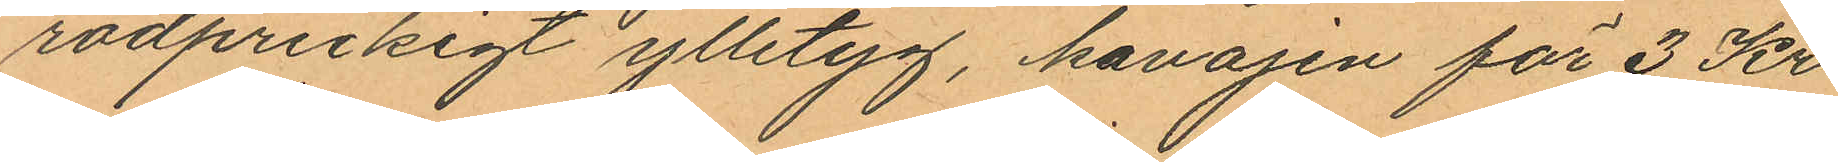rödprickigt ylletyg, kavajen för 3 Kr
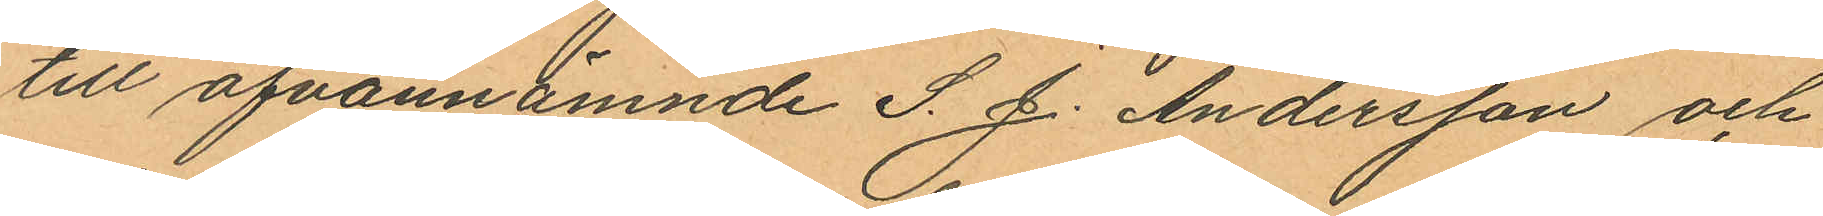till ofvannämnde S. J. Andersson och
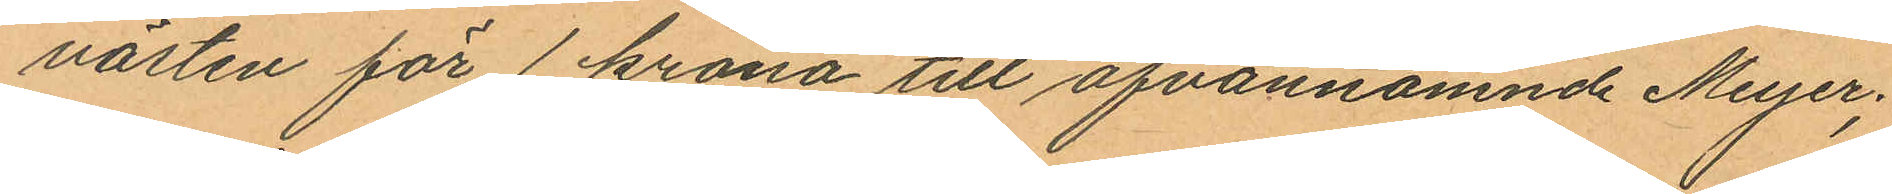västen för 1 krona till ofvannämnde Meyer;
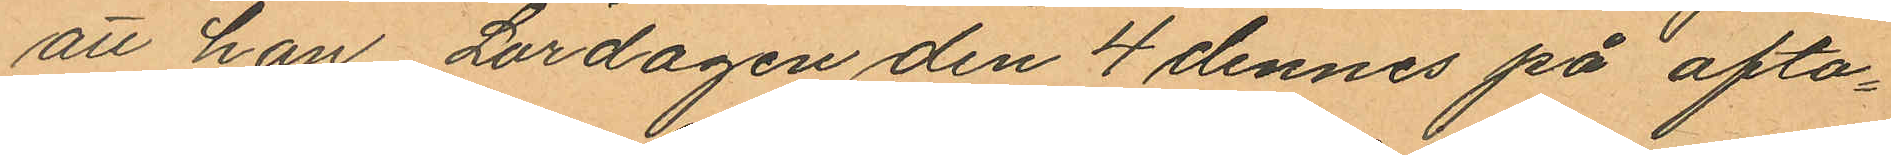att han Lördagen den 4 dennes på afto¬
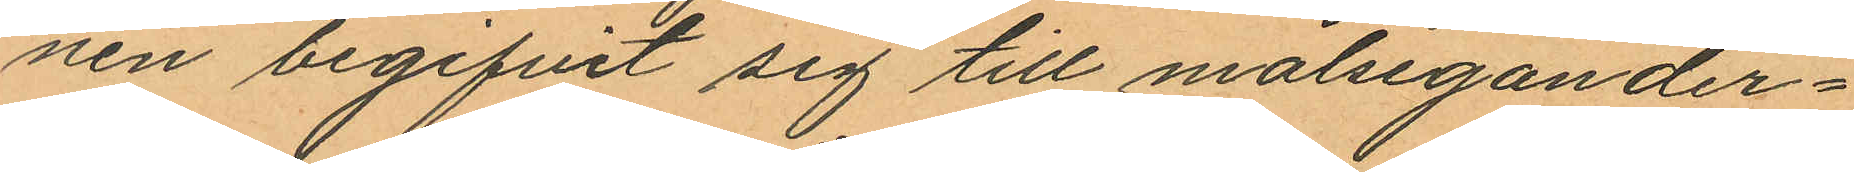nen begifvit sig till målsegander¬
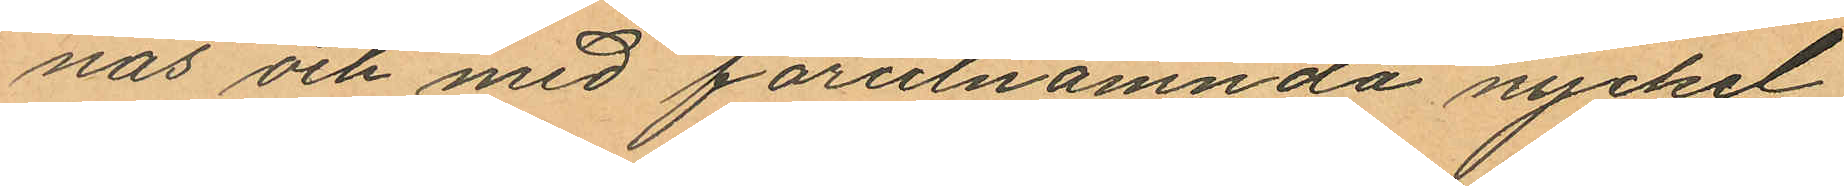nas och med förutnämnda nyckel
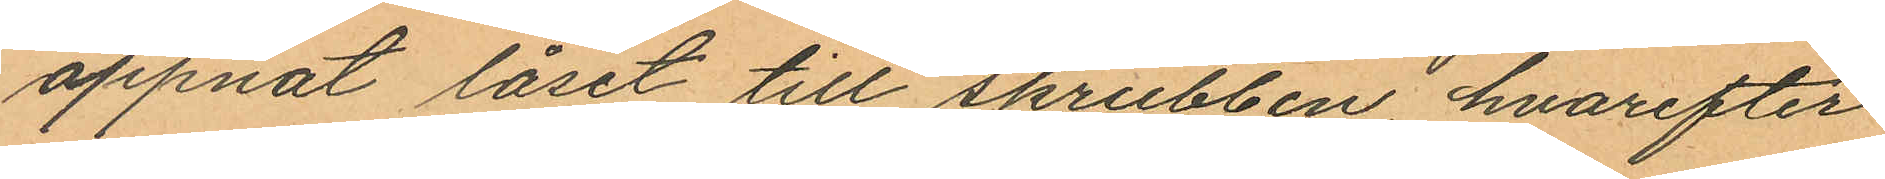öppnat låset till skrubben, hvarefter
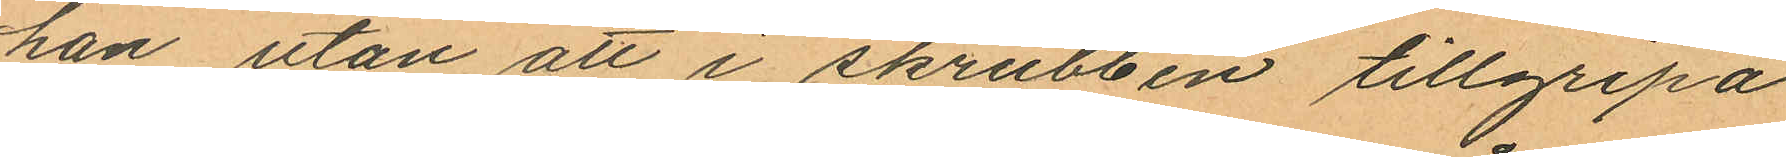han utan att i skrubben tillgripa
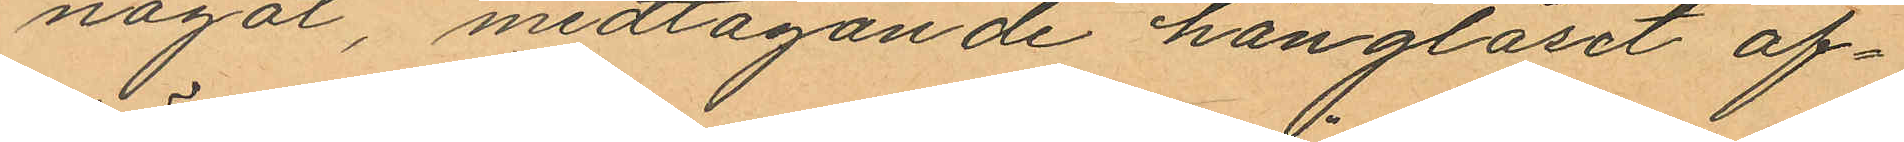något, medtagande hänglåset af¬
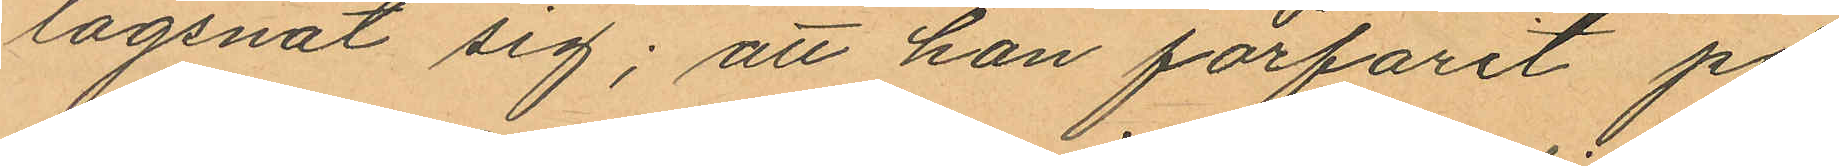lägsnat sig; att han förfarit på
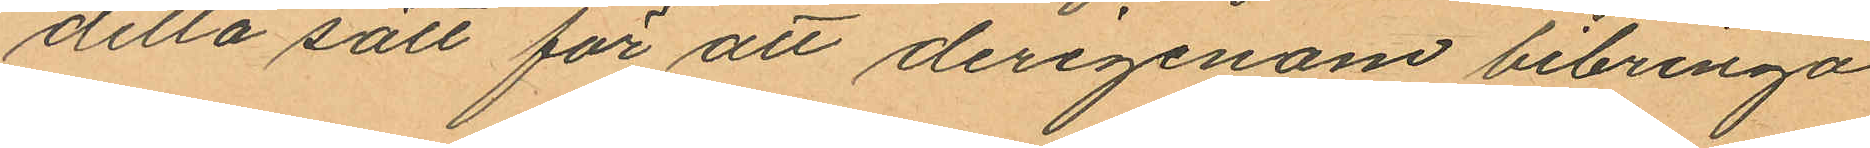detta sätt för att derigenom bibringa
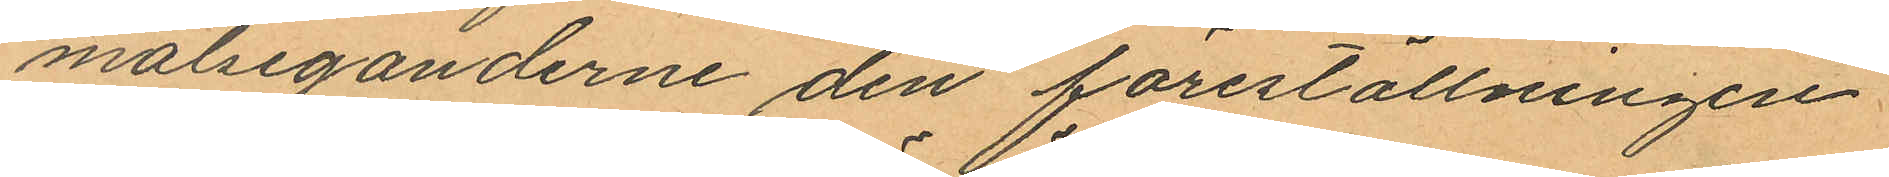målseganderne den föreställningen
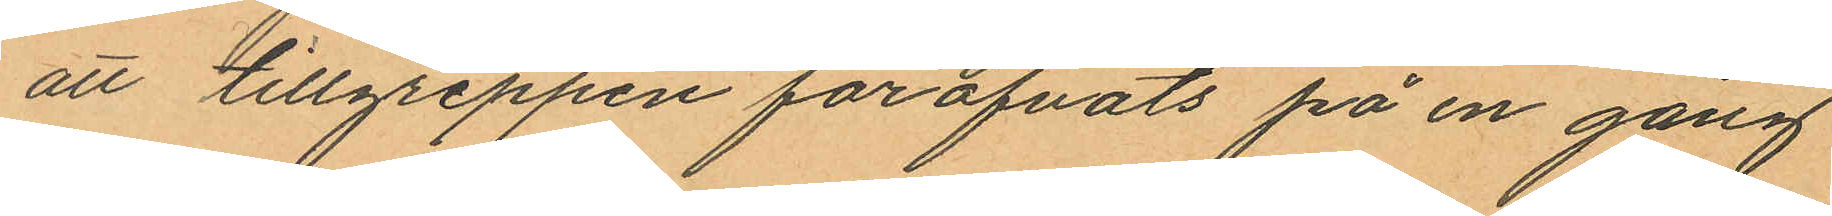att tillgreppen föröfvats på en gång
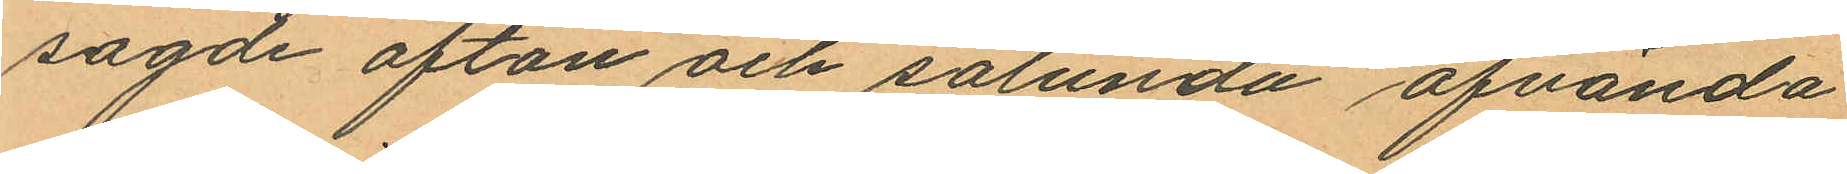sagde afton och sålunda afvända
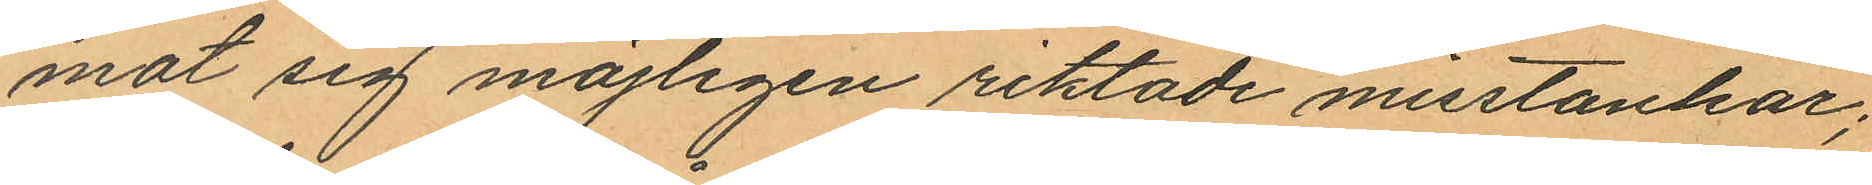mot sig möjligen riktade misstankar;
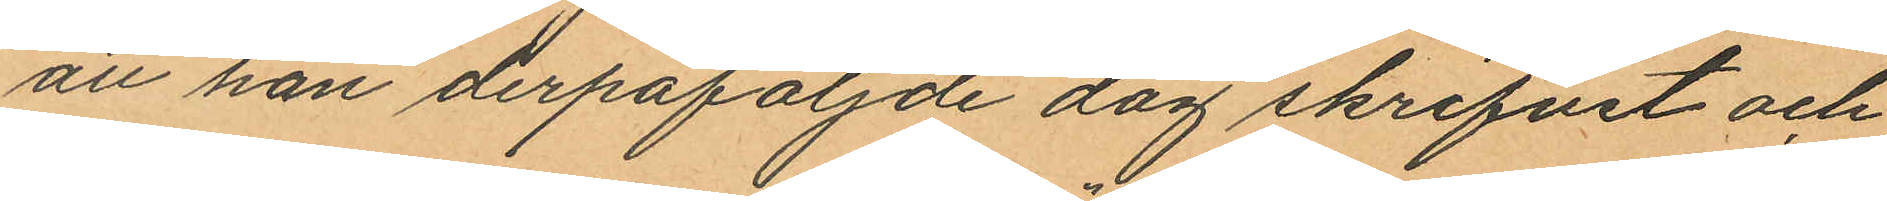att han derpåföljnde dag skrifvit och
